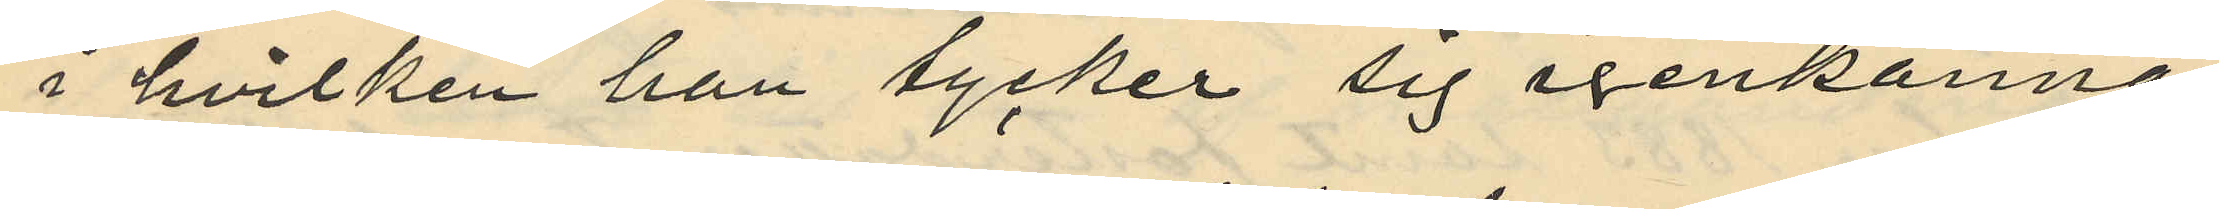i hvilken han tycker sig igenkänna
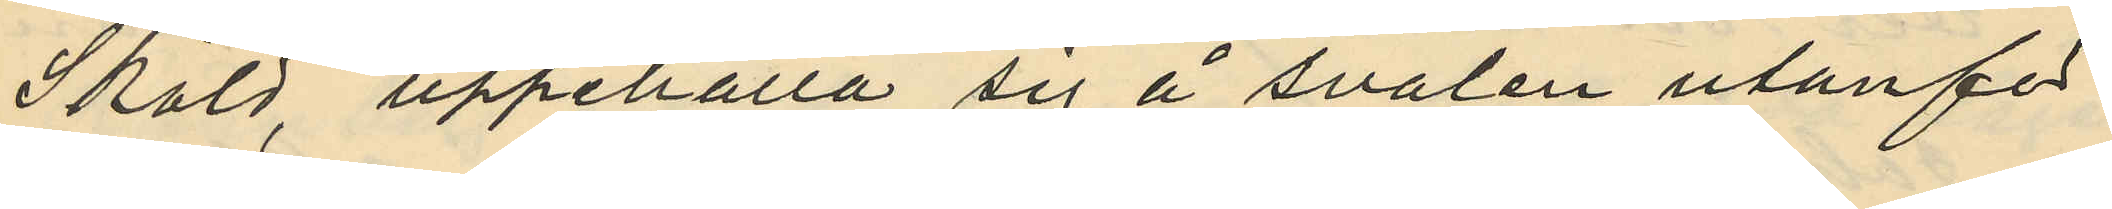Sköld, uppehålla sig å svalen utanför
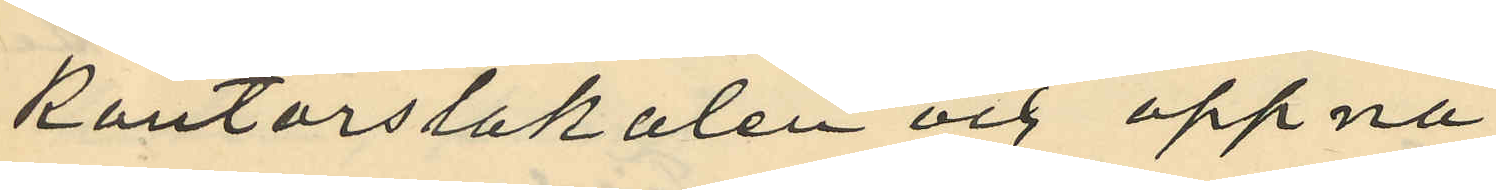kontorslokalen och öppna
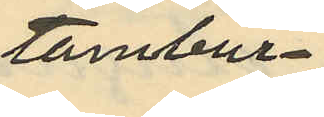tambur¬
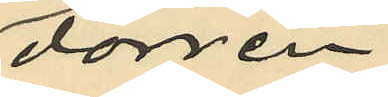dörren
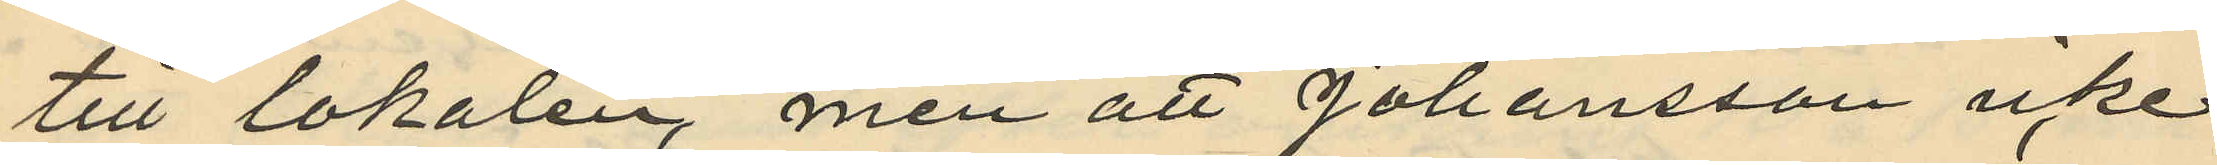till lokalen men att Johansson icke
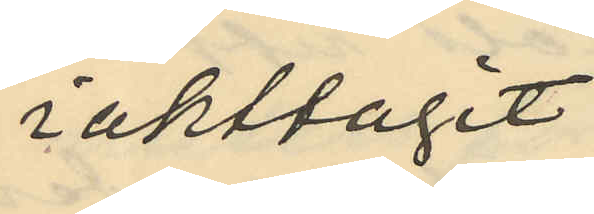iakttagit
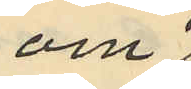om
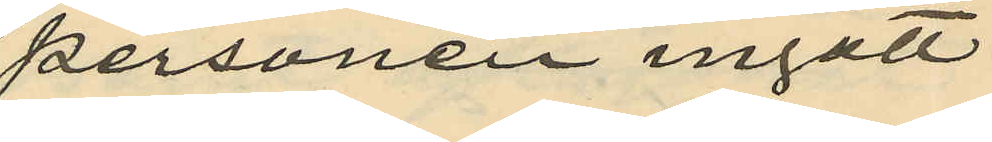personen ingått
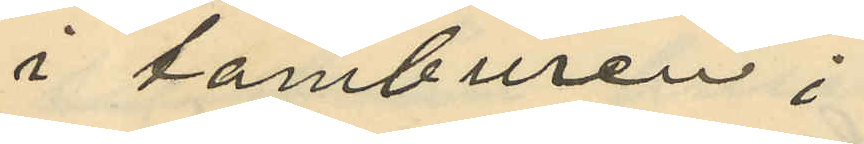i tamburen;
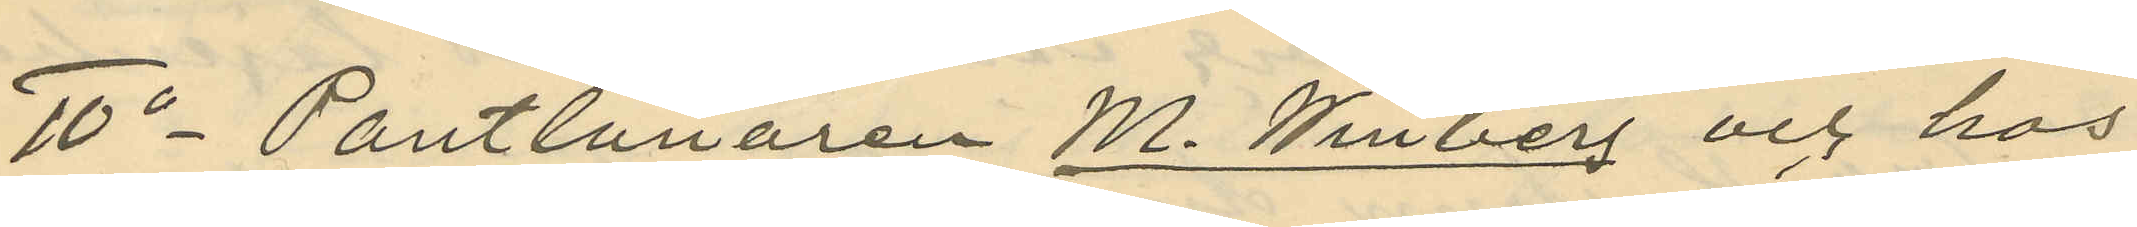10o Pantlånaren M. Winberg och hos
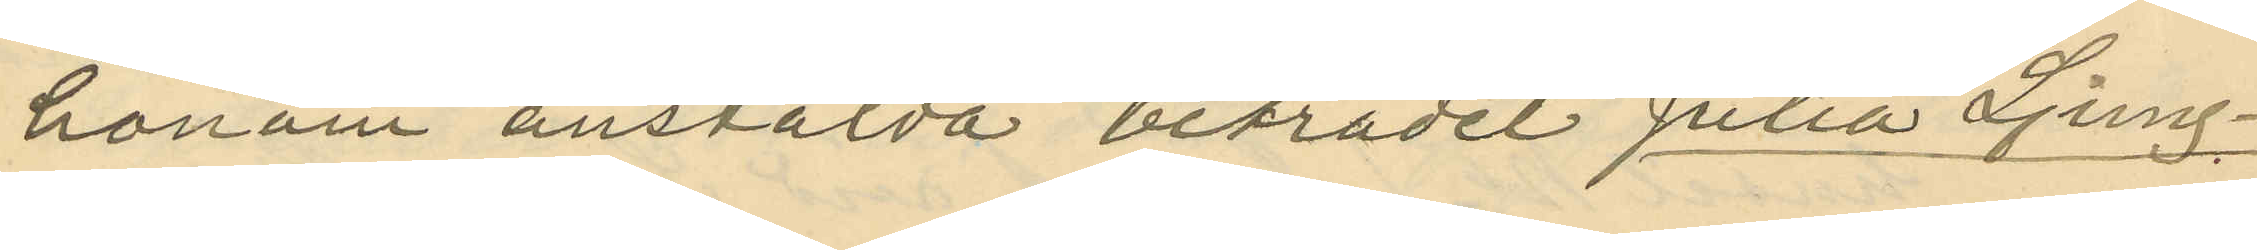honom anstälda biträdet Julia Ljung¬
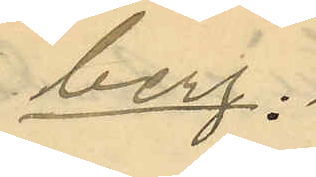berg.
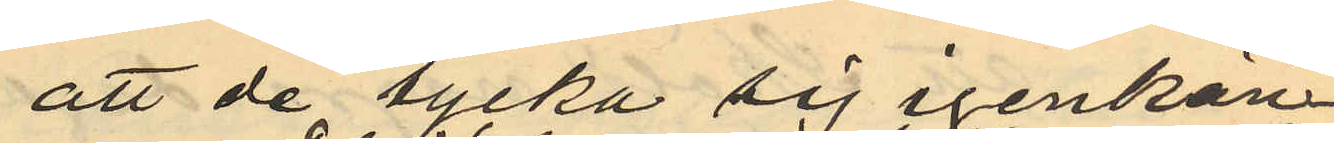att de tycka sig igenkän¬
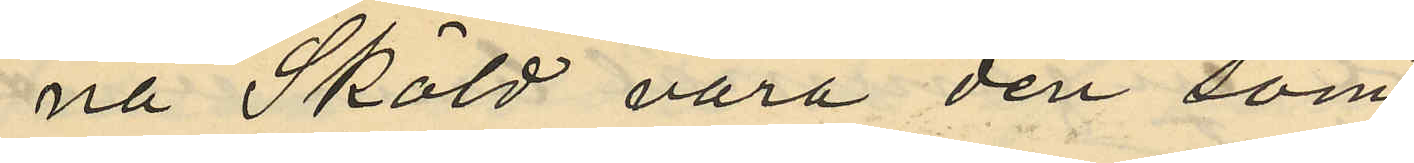na Sköld vara den som
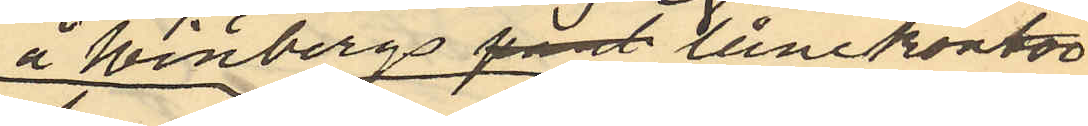å Winbergs pant lånekontor
